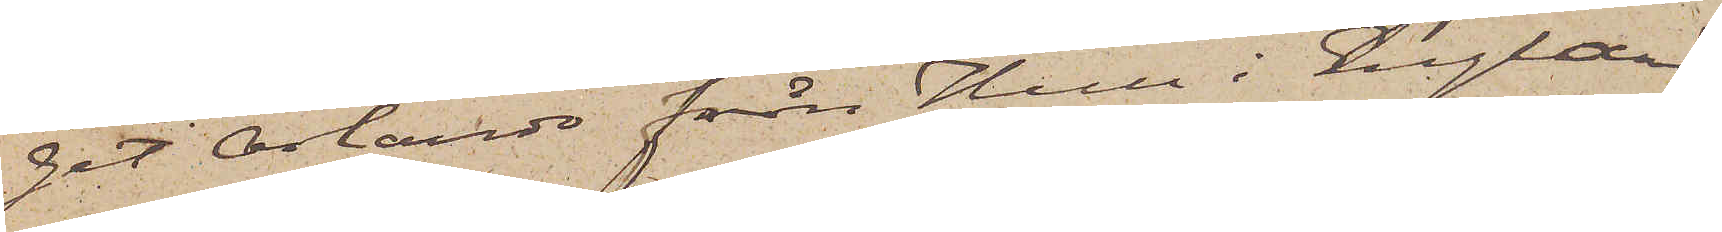get Orlando från Hull i England;
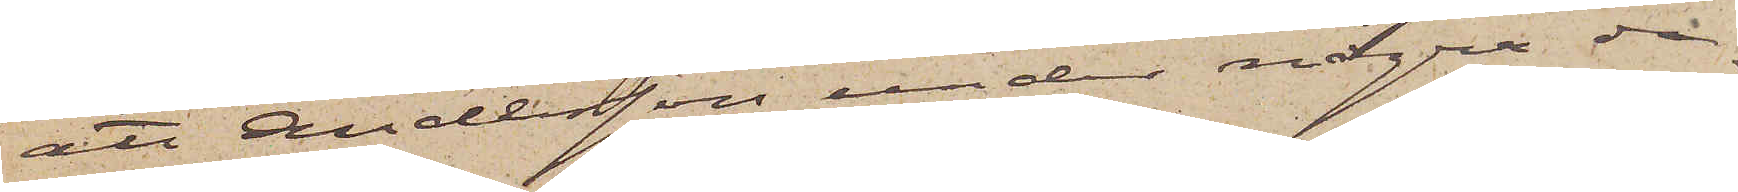att Andersson under några da¬
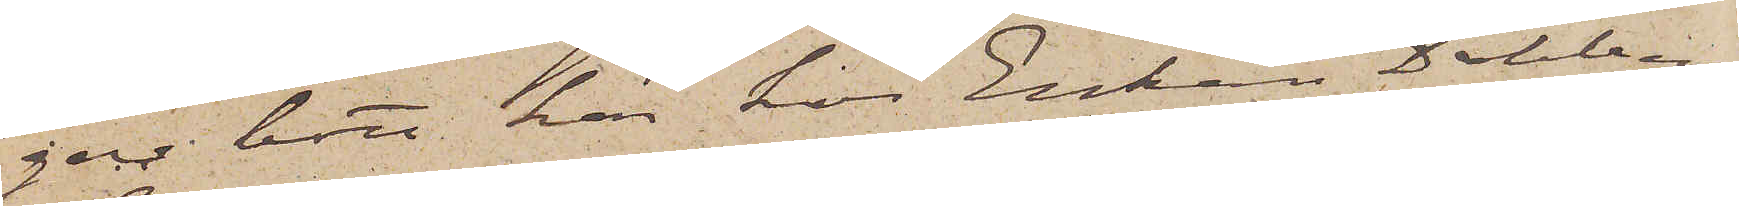gar bott här hos Enkan Dalberg
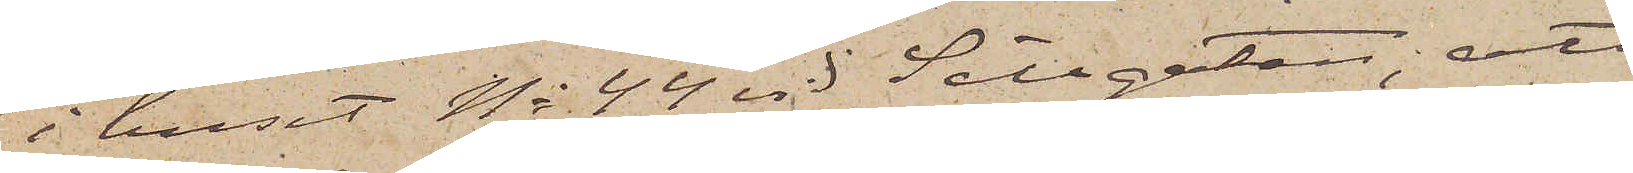i huset No 44 vid Sillgatan; att
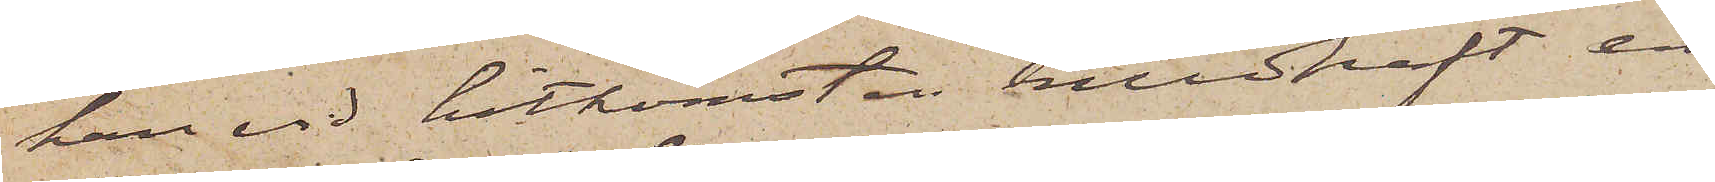han vid hitkomsten medhaft en
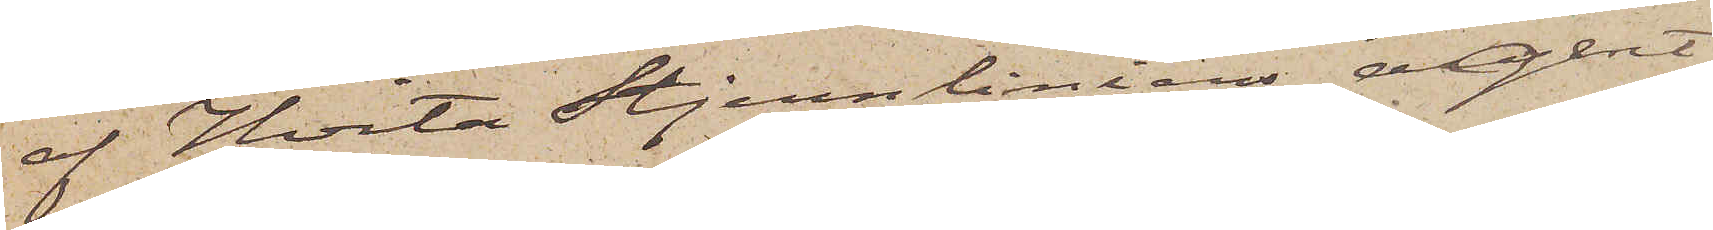af Hvita Stjernliniens agent
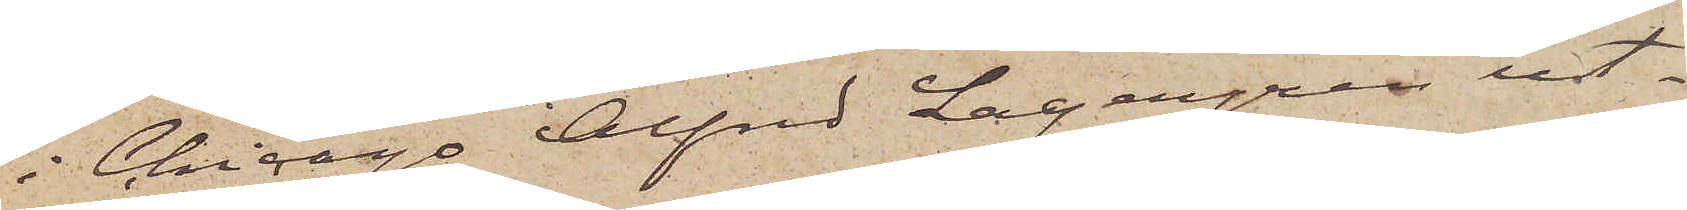i Chicago Alfred Lagergren ut¬
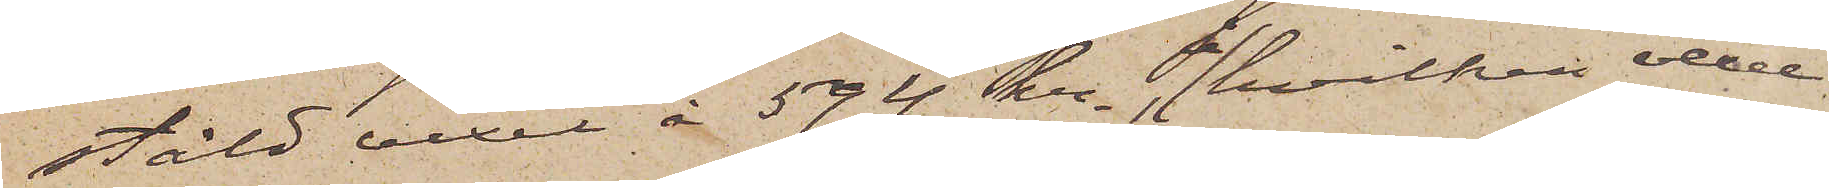stäld vexel å 594 kr., å hvilken vexel
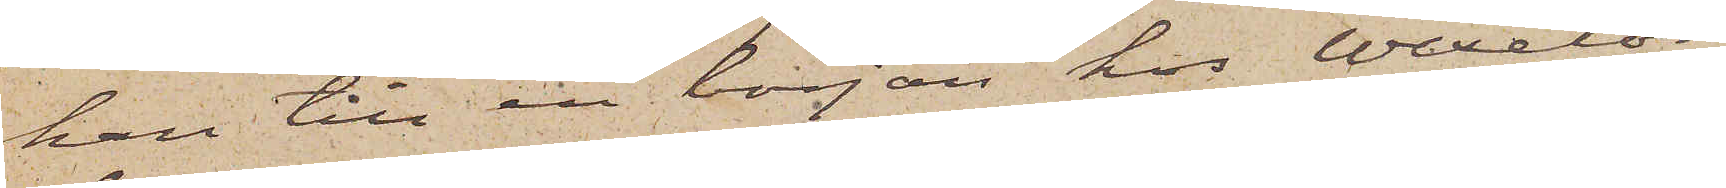han till en början hos Wexelör¬
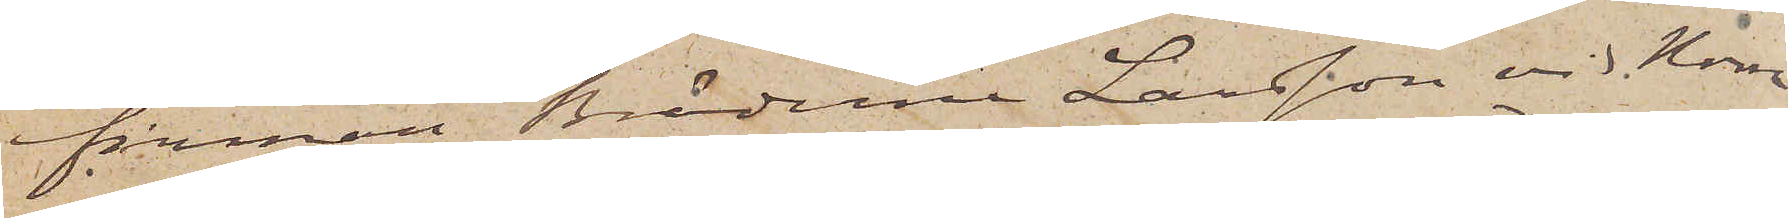firman Bröderne Larsson vid Norra
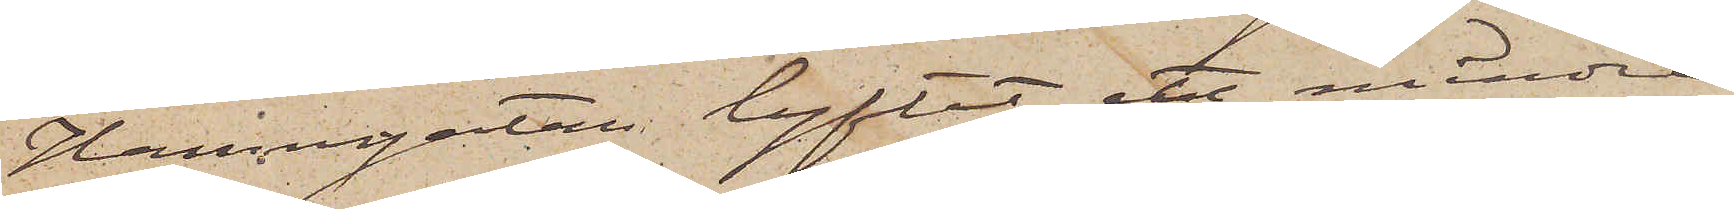Hamngatan lyftat ett mindre
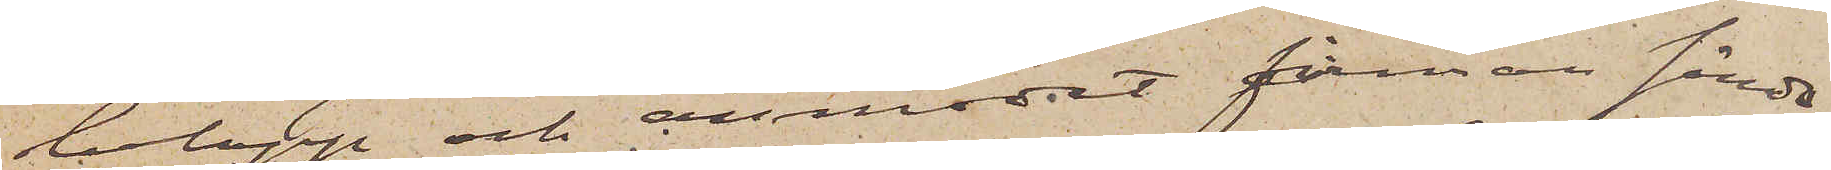belopp och anmodat firman sända
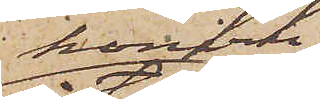honom
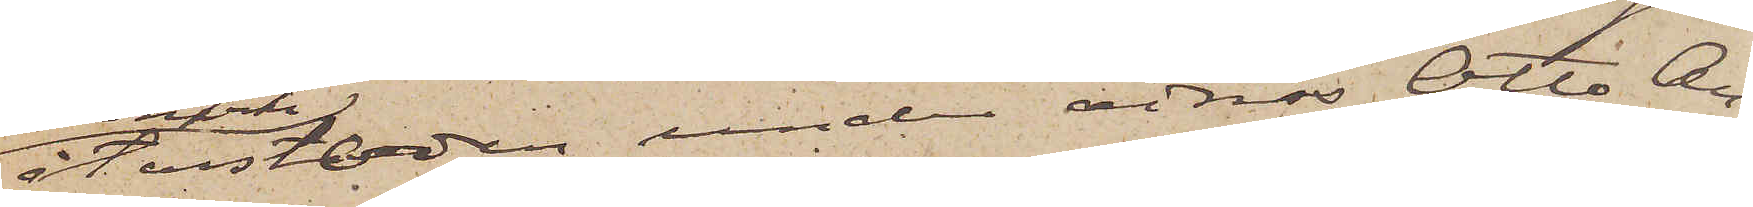återstoden, under adress Otto An¬
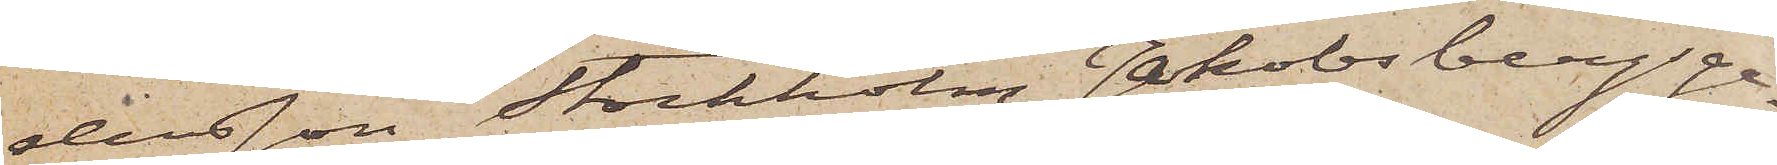dersson Stockholm Jakobsbergsga¬
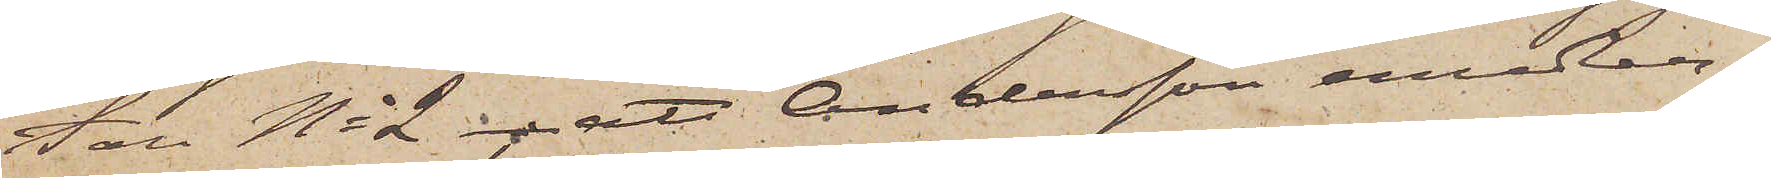tan No 2; att Andersson emedler¬
